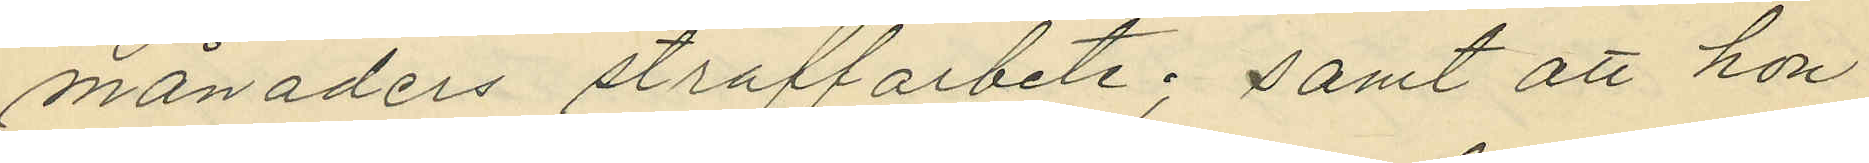månaders straffarbete; samt att hon
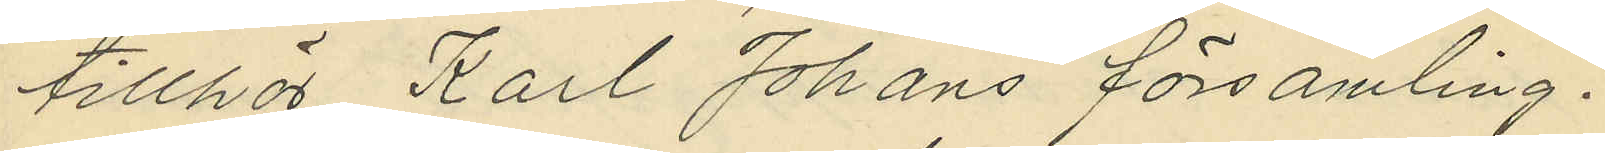tillhör Karl Johans församling.
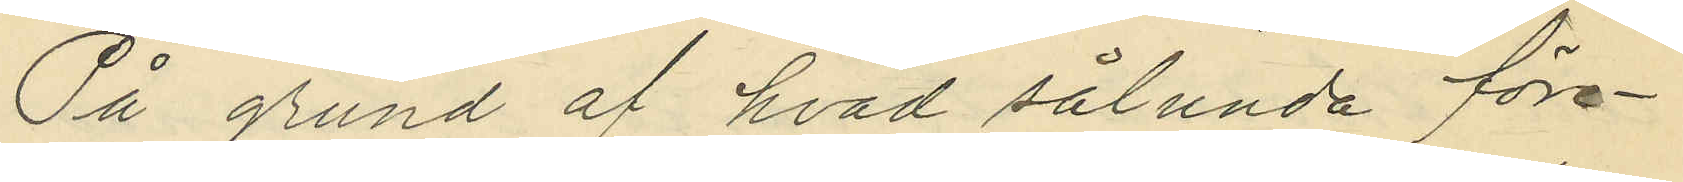På grund af hvad sålunda före¬
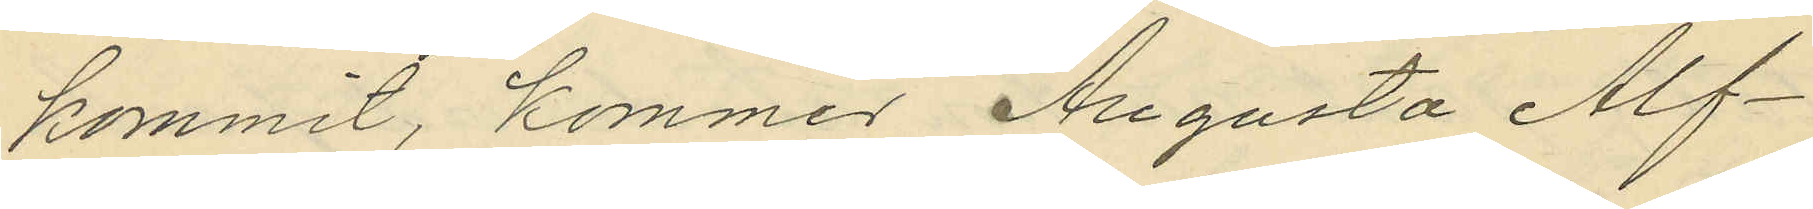kommit, kommer Augusta Alf¬
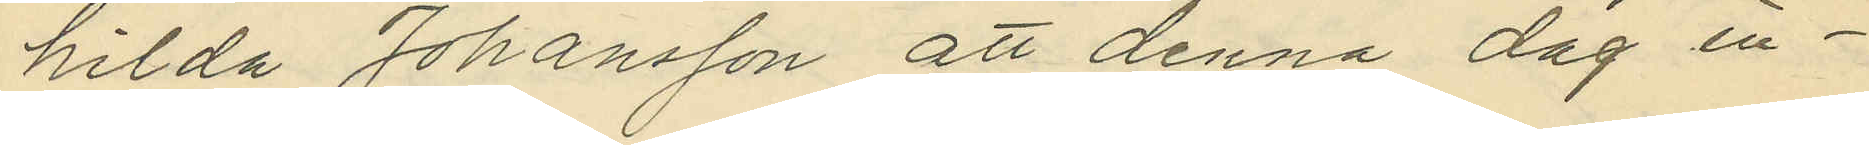hilda Johansson att denna dag in¬
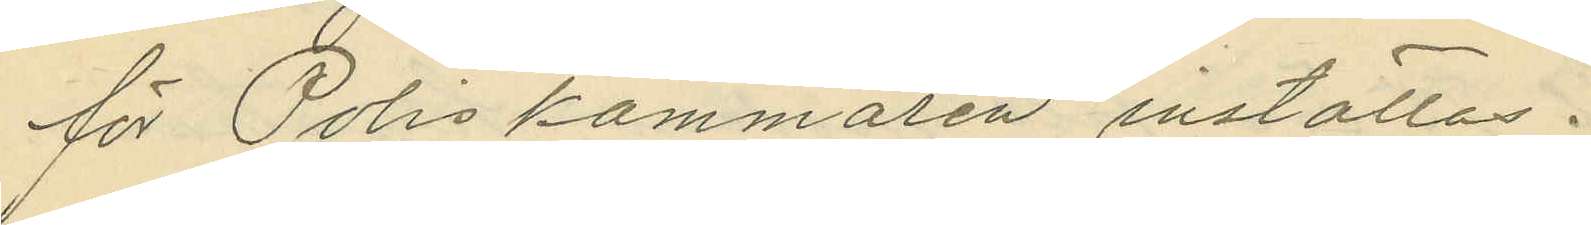för Poliskammaren inställas.
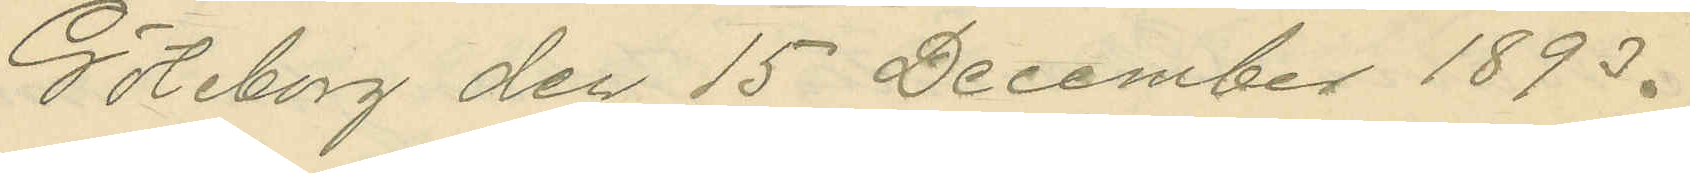Göteborg den 15 December 1893.
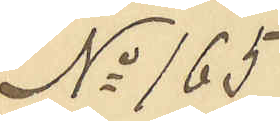No 165
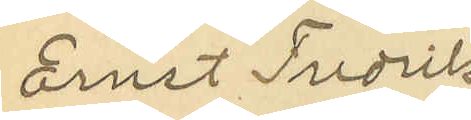Ernst Fredrik
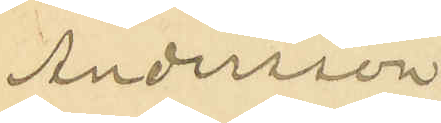Andersson
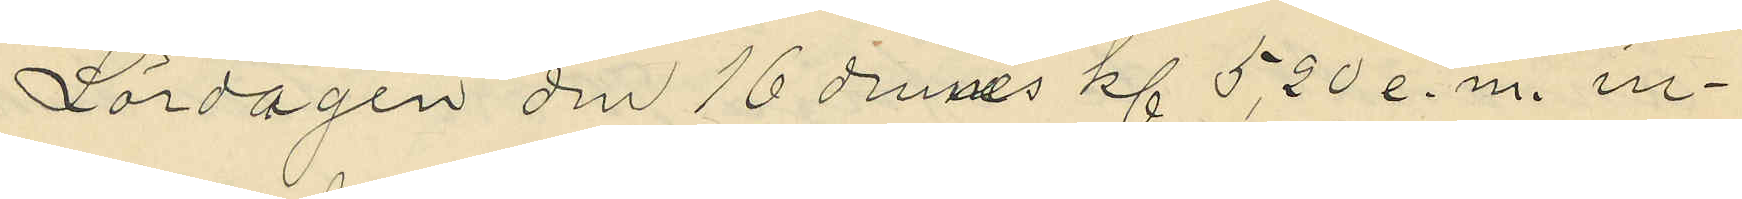Lördagen den 16 dennes kl 5,20 e.m. in¬
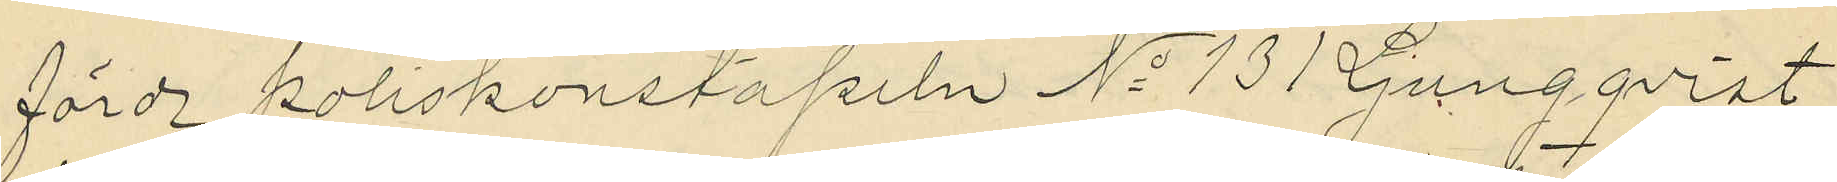förde poliskonstapeln No 131 Ljungqvist
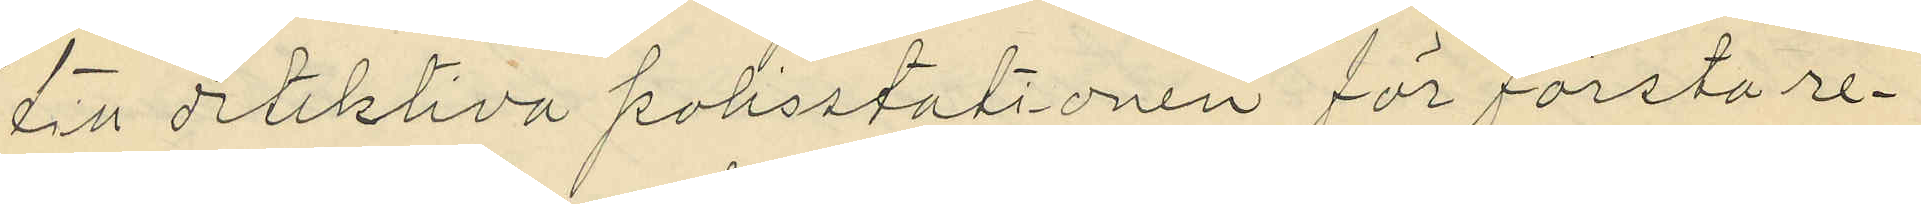till detektiva polisstationen för första re¬
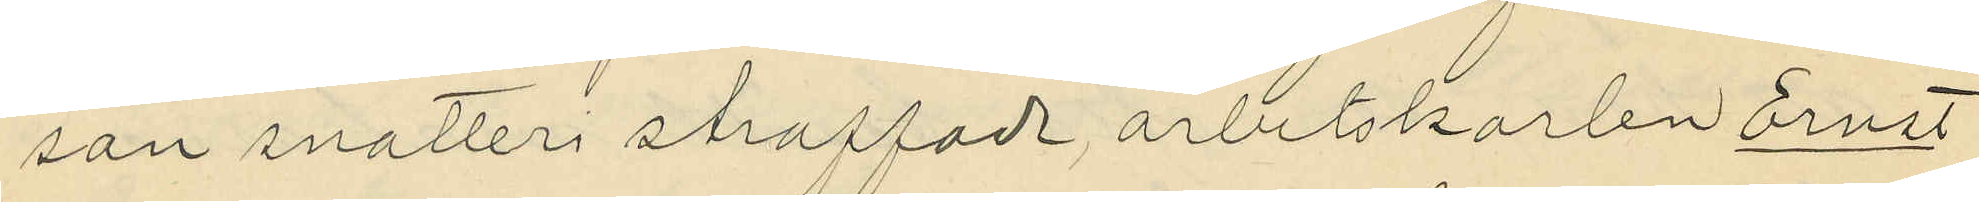san snatteri straffade arbetskarlen Ernst
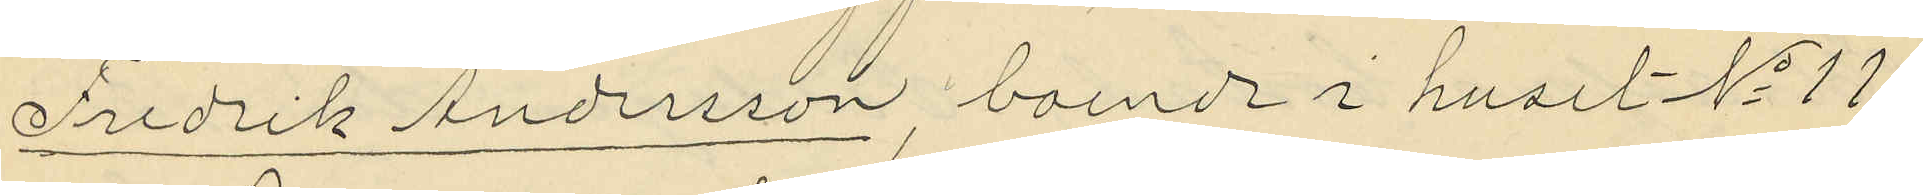Fredrik Andersson, boende i huset No 11
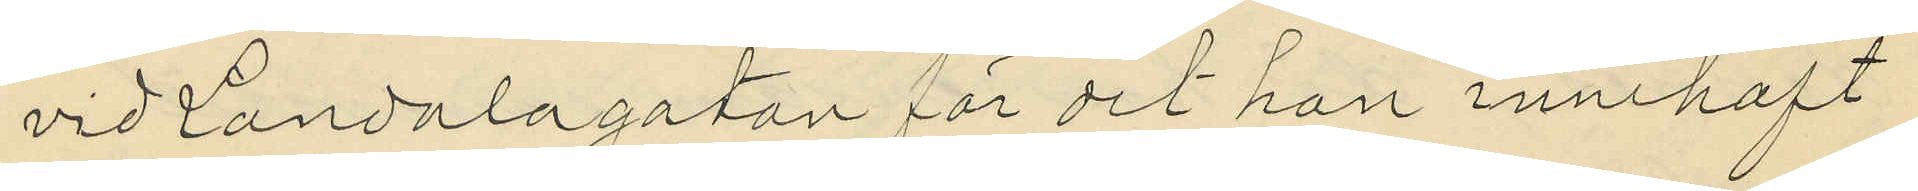vid Landalagatan för det han innehaft
